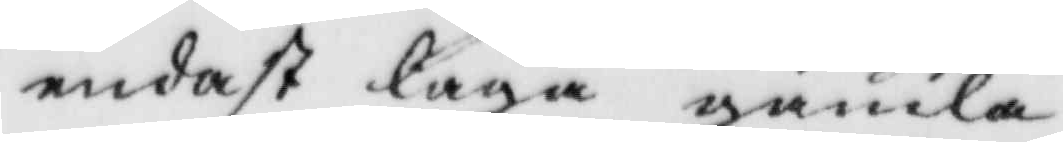endast laga gamla.
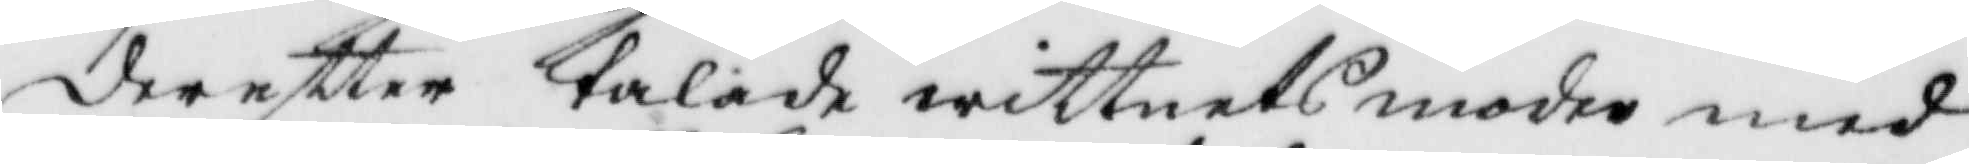dereftter talade wittnets moder med
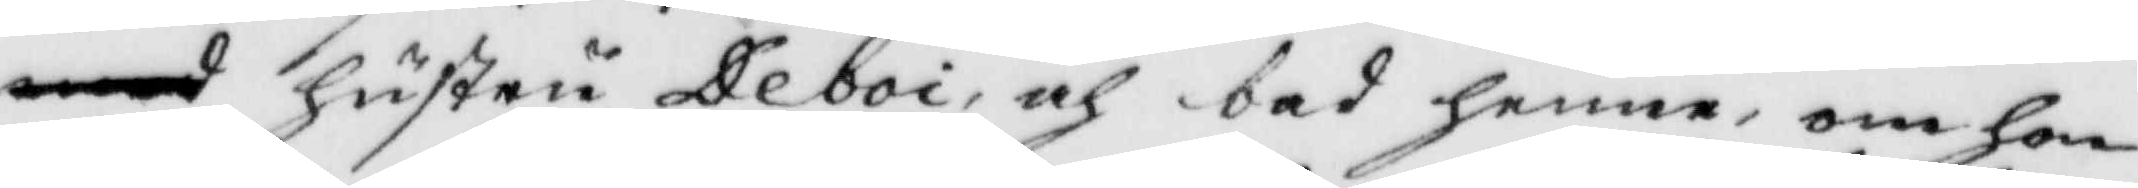hustru Deboi, och bad henne, om hon
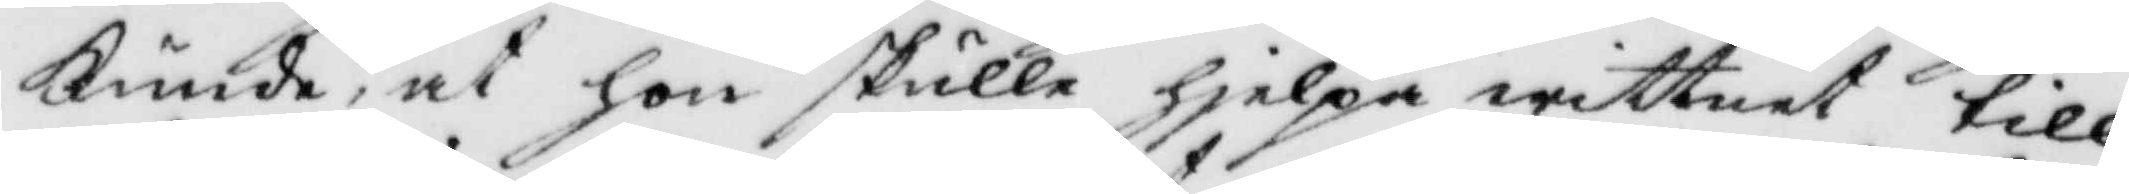kunde, at hon skulle hjelpa wittnet till
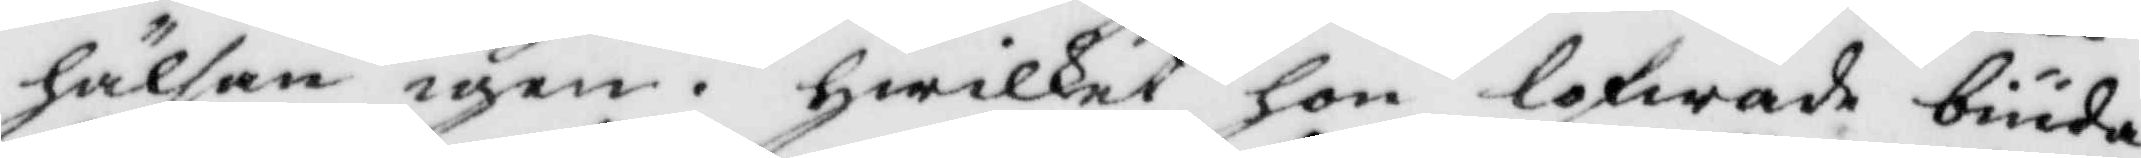hälsan igen, hwilket hon lofwade biuda
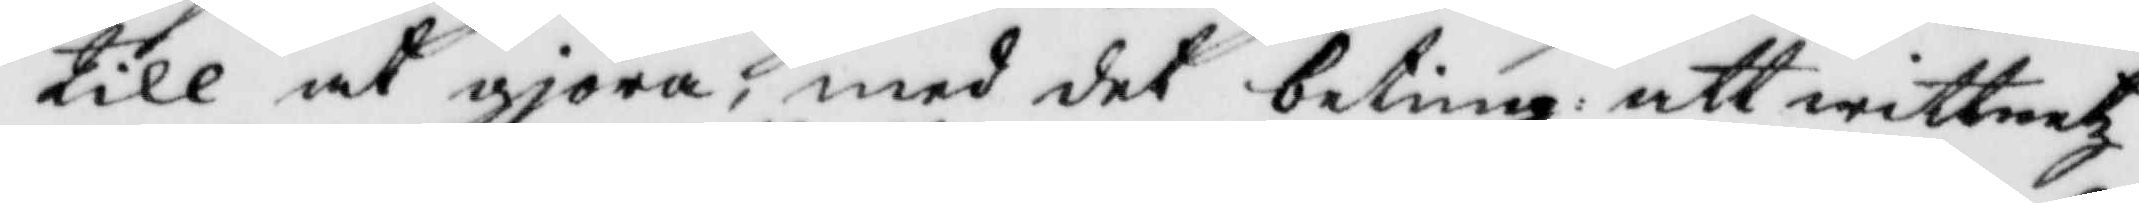till at giöra, med det beting, att wittnetz
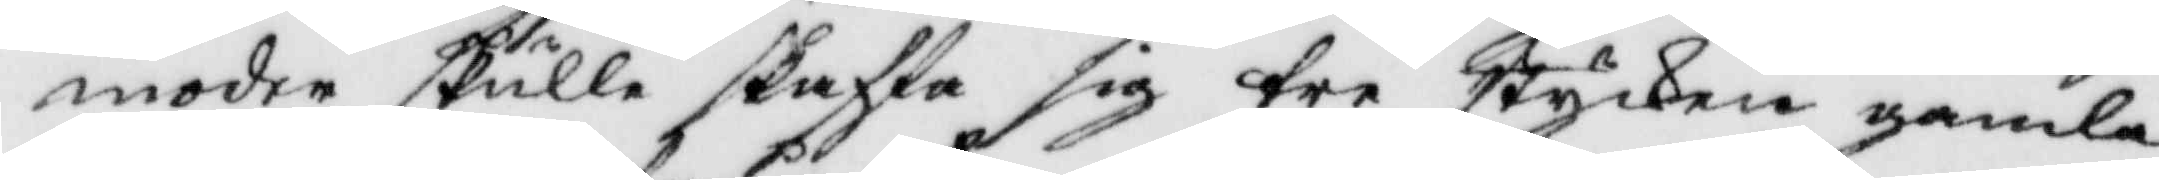moder skulle skaffa sig tre stycken gamla
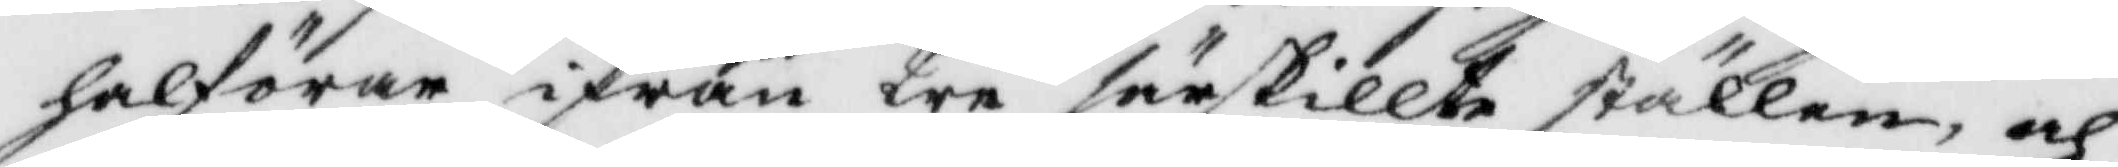halförar ifrån tre särskillte ställen, och
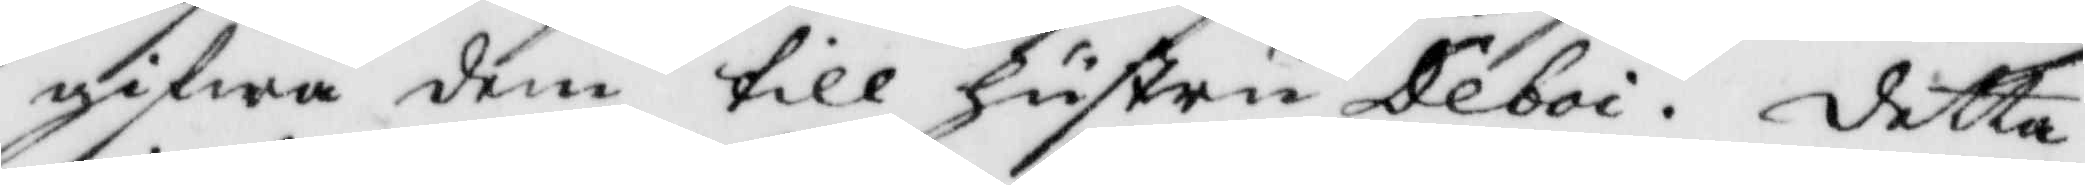gifwa dem till hustru Deboi. detta
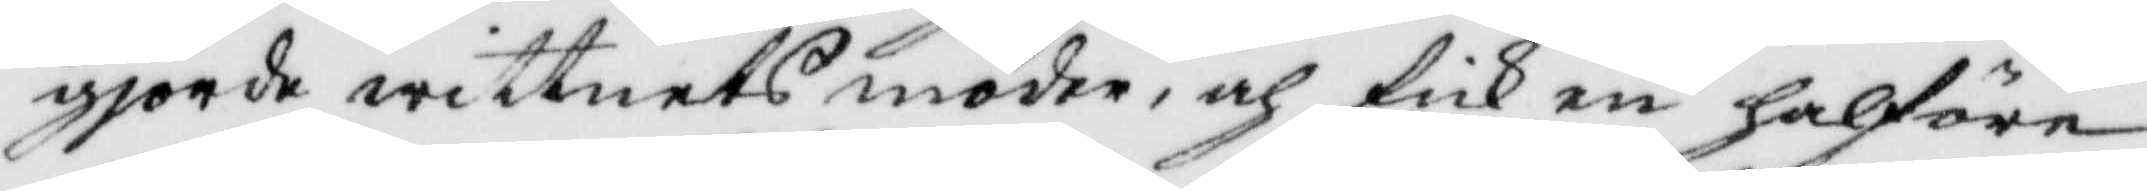gjorde witnets moder, och fick en halföre
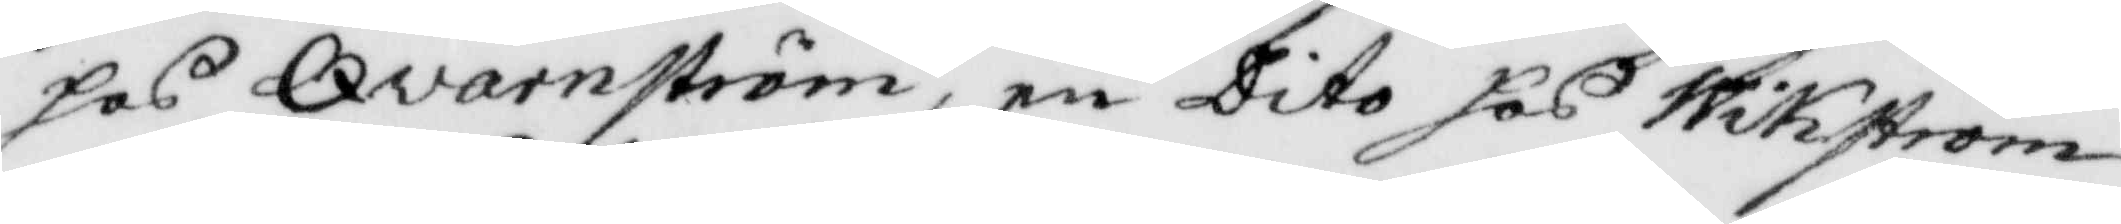hos Qvarnström, en Dito hos Wikström
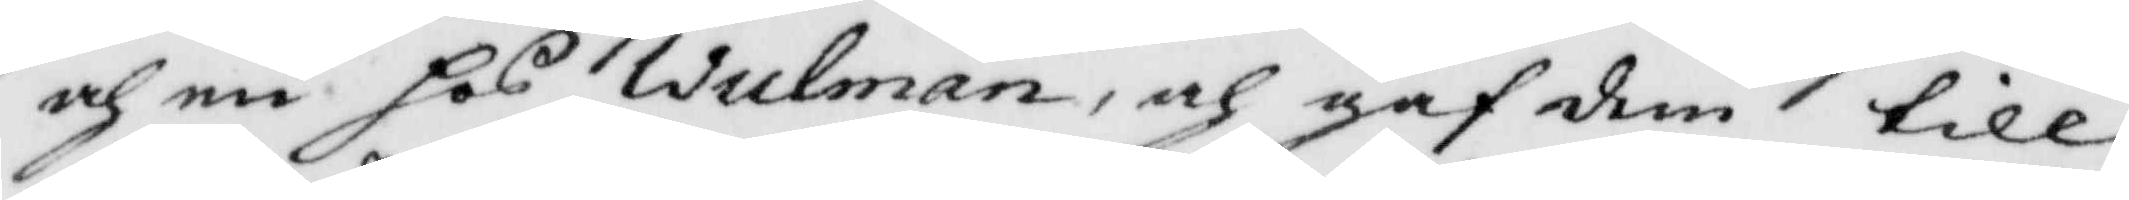och en hos Wulman, och gaf dem till
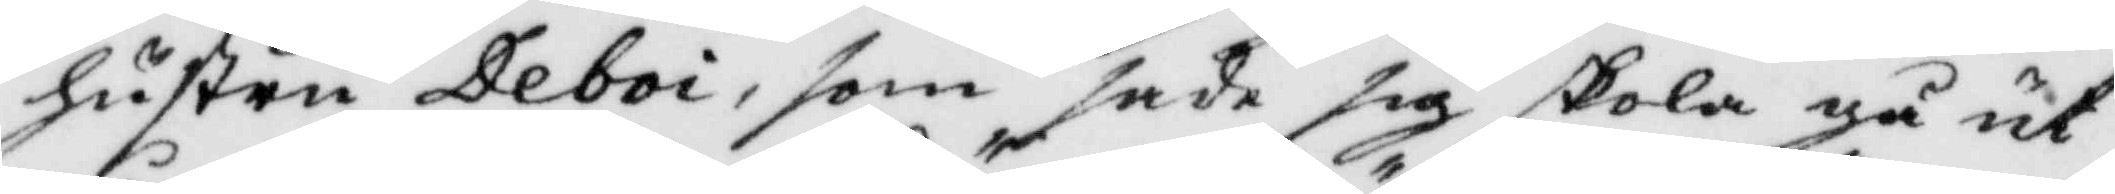hustru Deboi, som sade sig skola gå ut
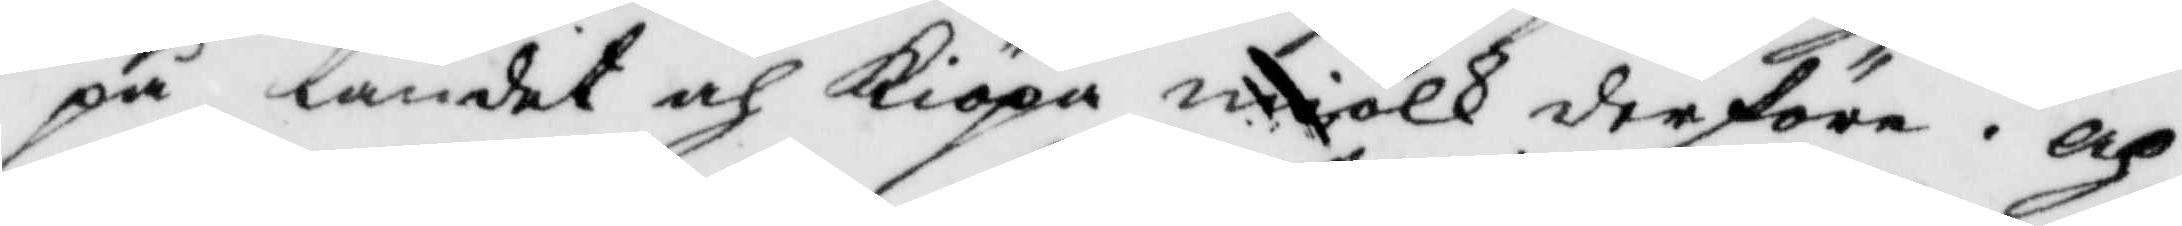på landet och kiöpa miölk derföre. och
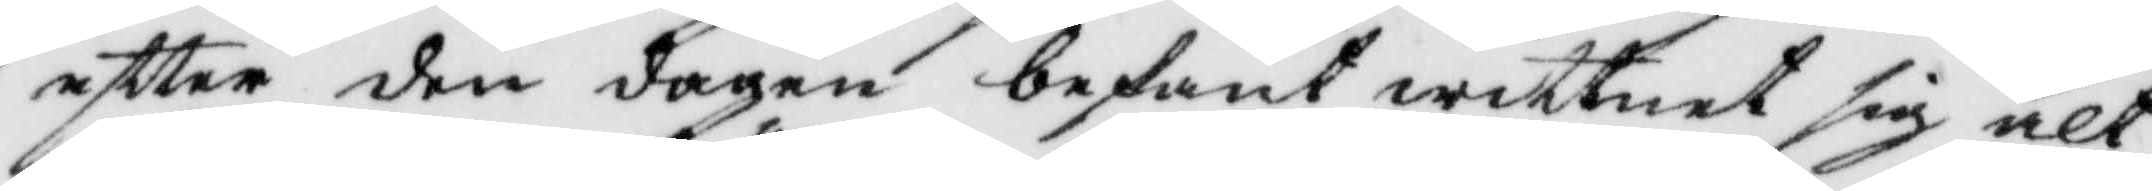eftter den dagen befant wittnet sig alt
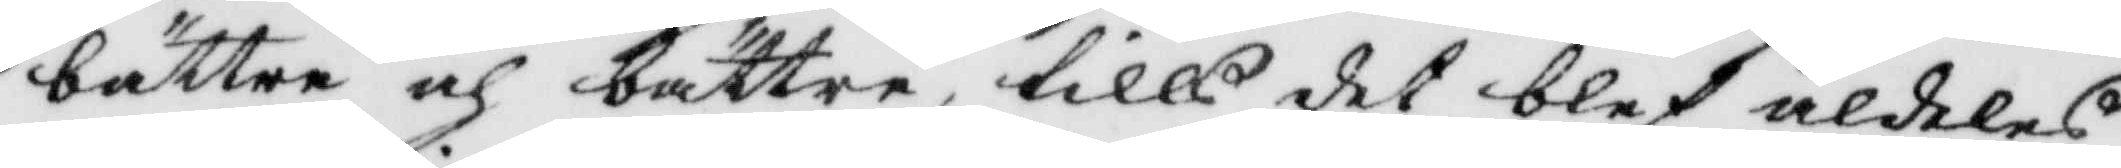bättre och bättre, tills det blef aldeles
